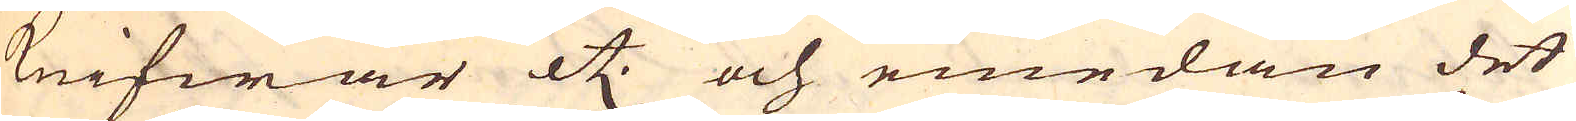Knifwar etc. och emedan det
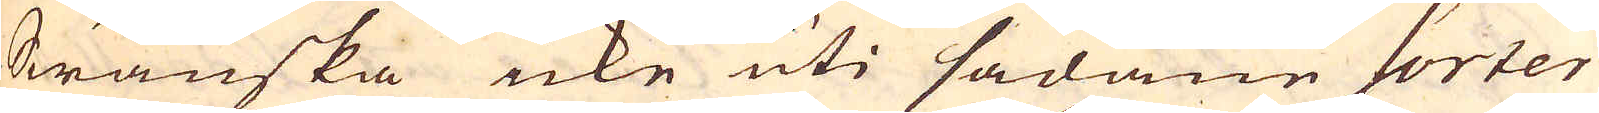Swänska icke uti sådane Sorter
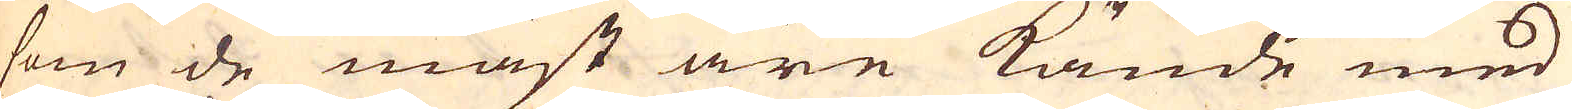som de mäst äre kände med
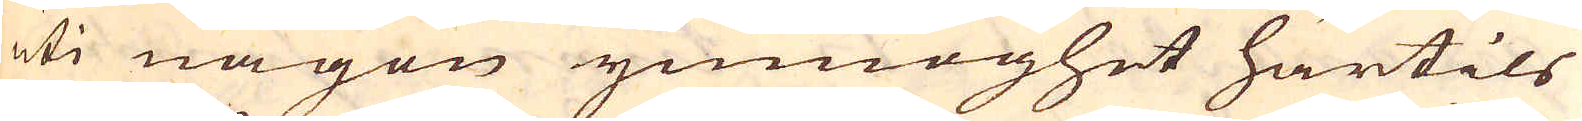uti någon ymnoghet härtils
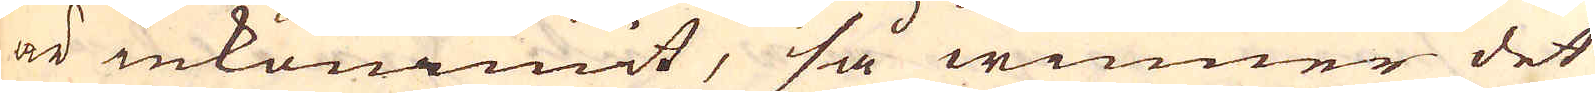är inkommit, så winner det
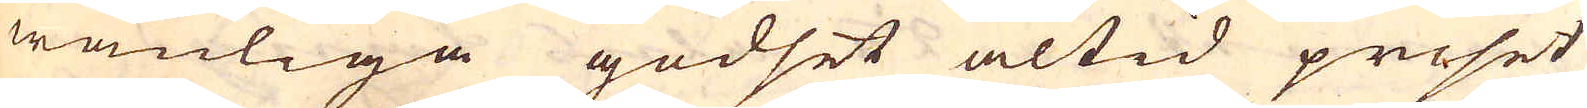wanliga godset altid priset
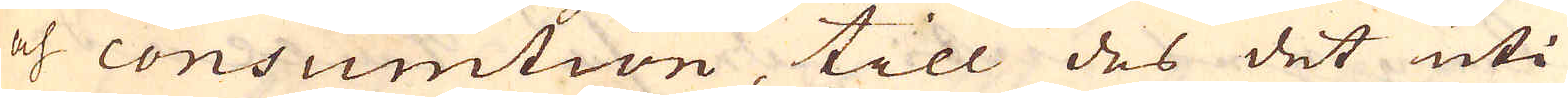och consumtion, till des det uti
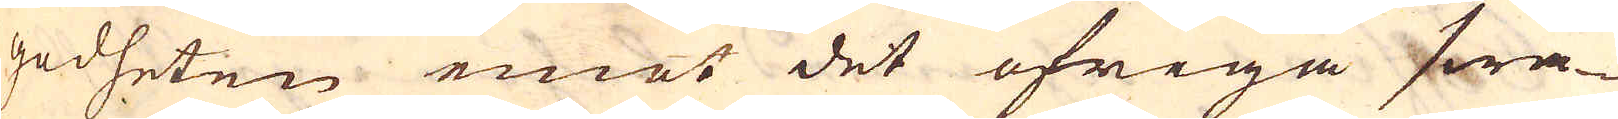godheten emot det öfriga swa-
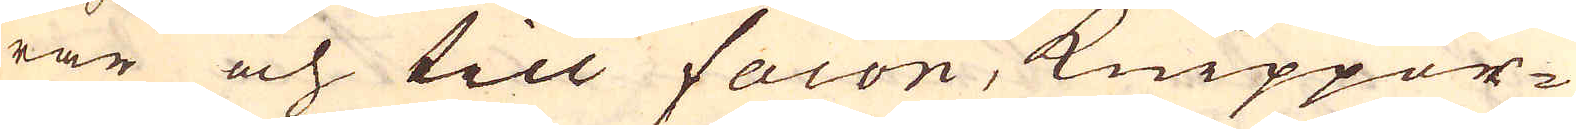rar och till facon, Knippor-
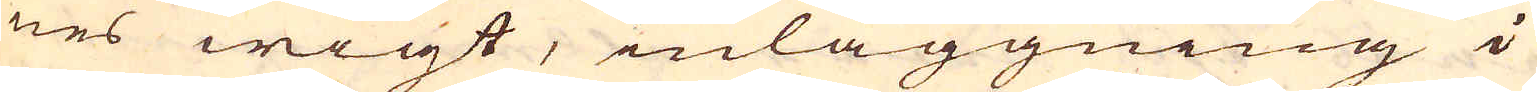nes wigt, inläggning i
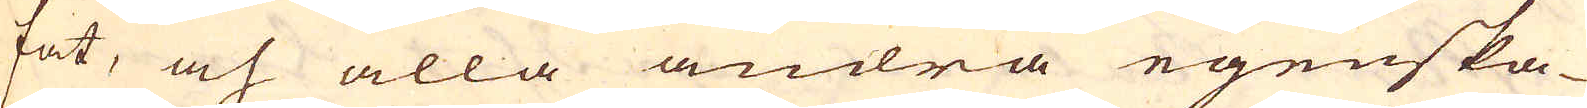fat, och alla andra egenska-
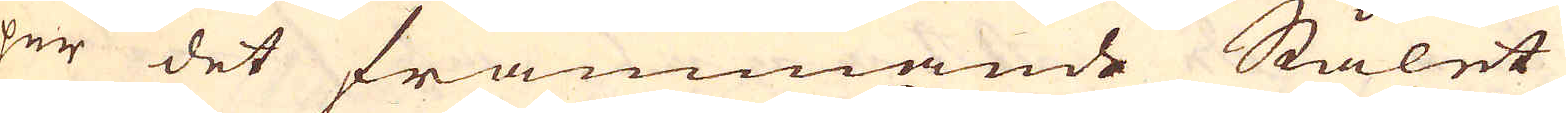per det främmande Stålet
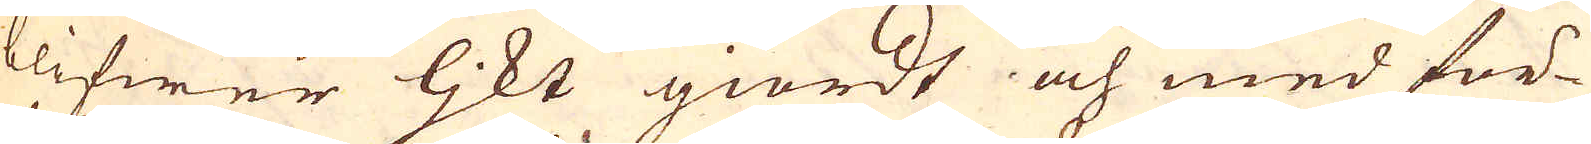blifwer ljkt giordt och med för-
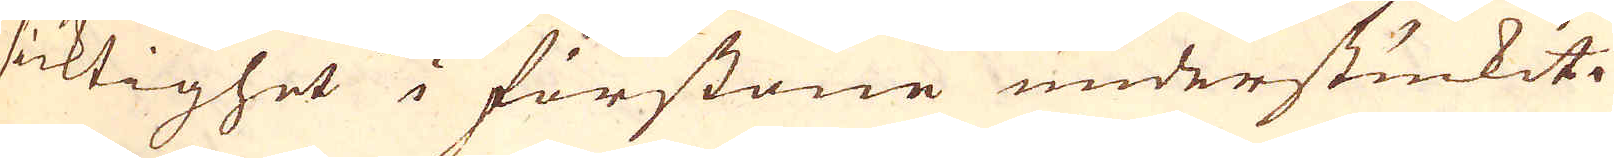sicktighet i förstone understuckit.
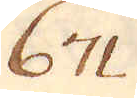671
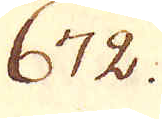672.
